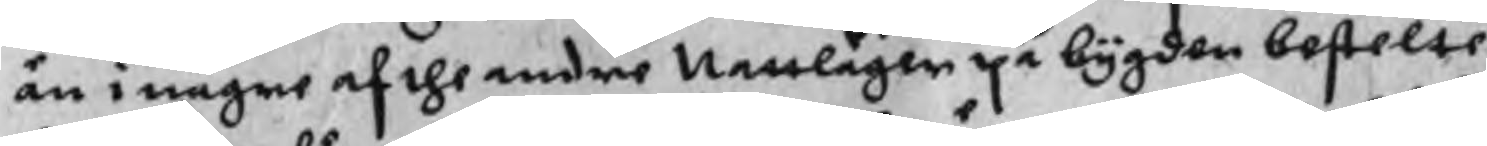än i någre af the andre Nattläger på bygden bestelte
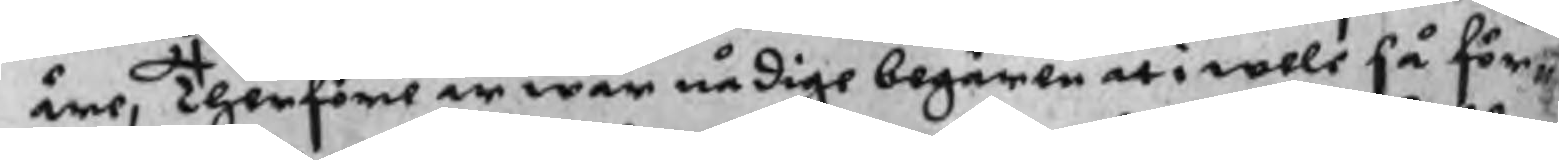äre, Therföre är wår nådige begären at i wele så för¬
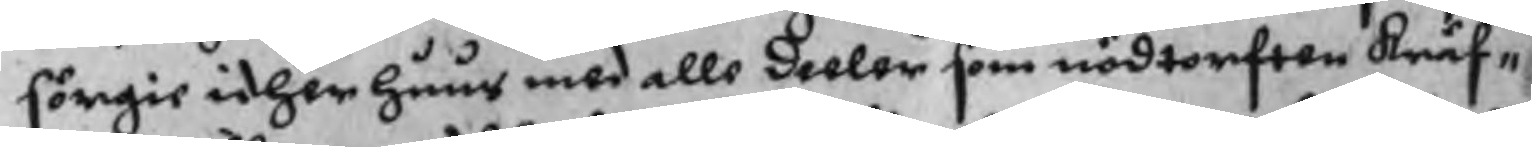sörgie idher huus med allo deeler som nödtorften kräf¬
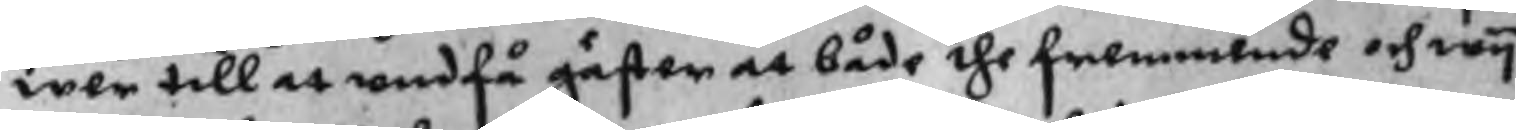wer till at undfå gäster at både the fremmende och wy
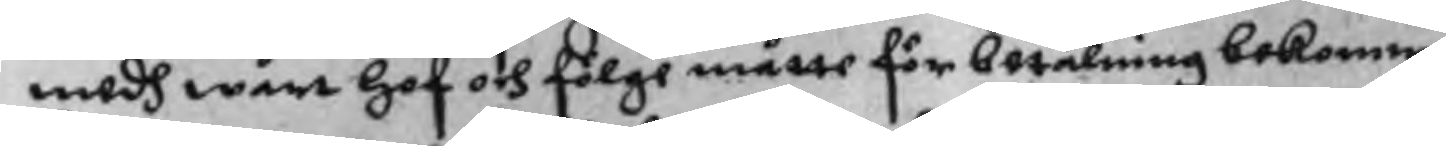medh wårt hof och fölge måtte för betalning bekomme
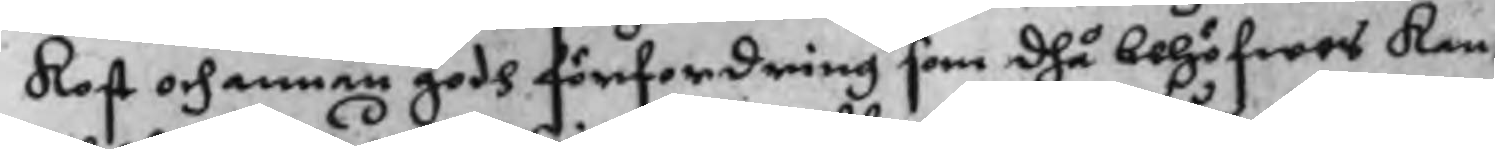kost och annan godh förfordring som dhå behöfwes kan,
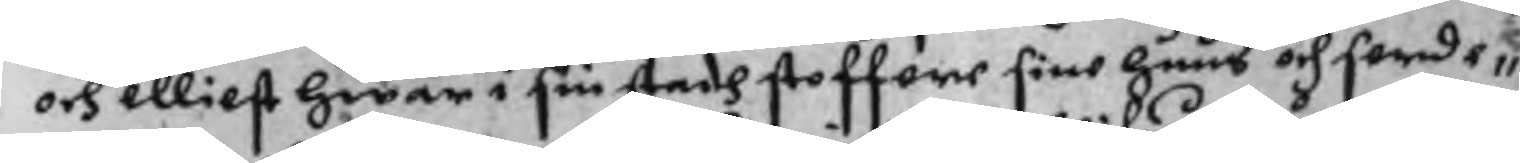och elliest hwar i sin stadh stoffere sine huus och Serde¬
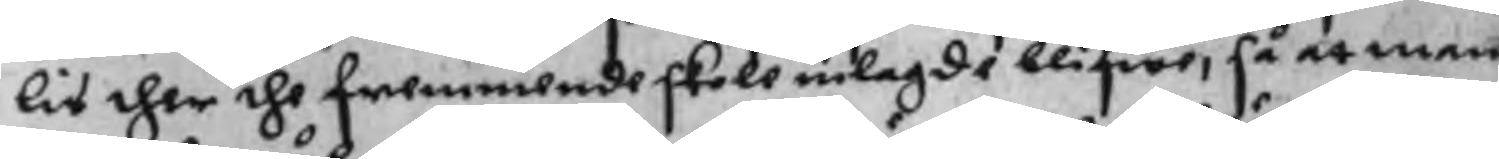lis ther the fremmende skola inlagde blifwe, så at man
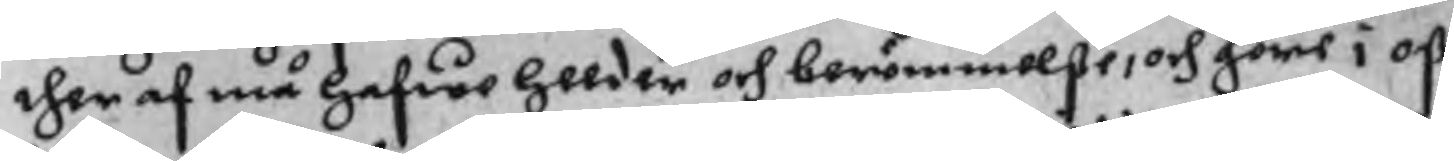ther af må hafwe Heeder och berömmelße, och göre i oß
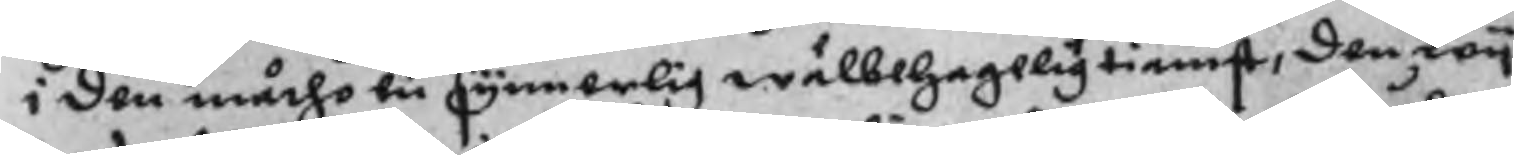i den måtho en synnerlig wälbehagelig tienst, den wy
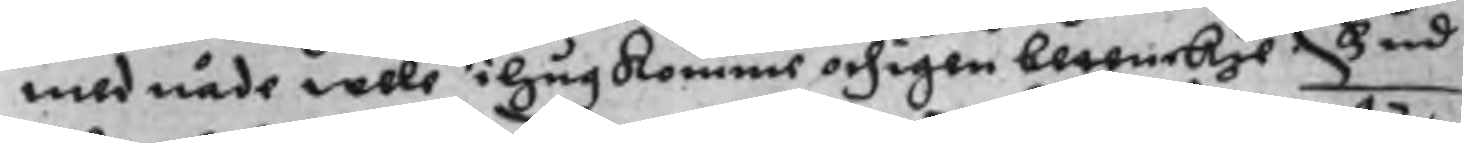med nåde wele i hugkomme och igen betenckie.  Gud
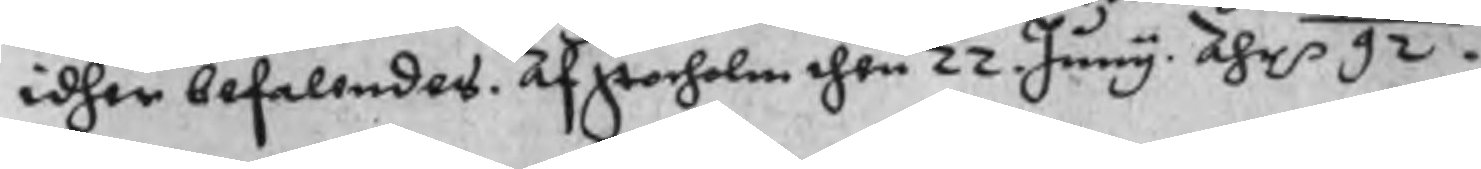idher befallendes. Af Stocholm then 22 Juny. Åhr p 92.
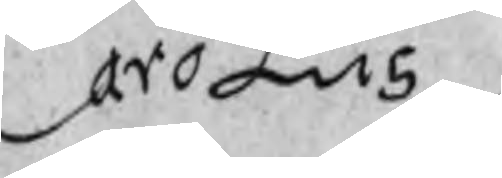Carolus
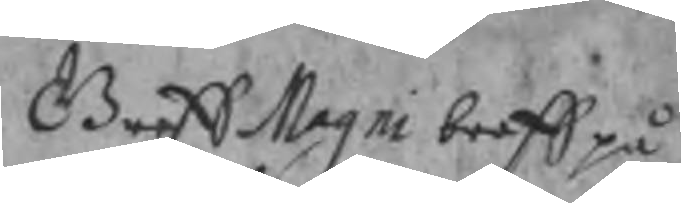Breff Magni breff på
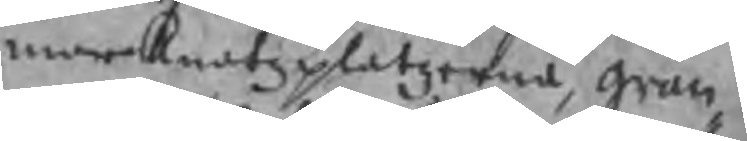marknatzplatzerna, grän¬
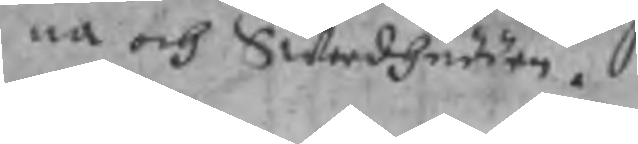na och Swerdhudden.
